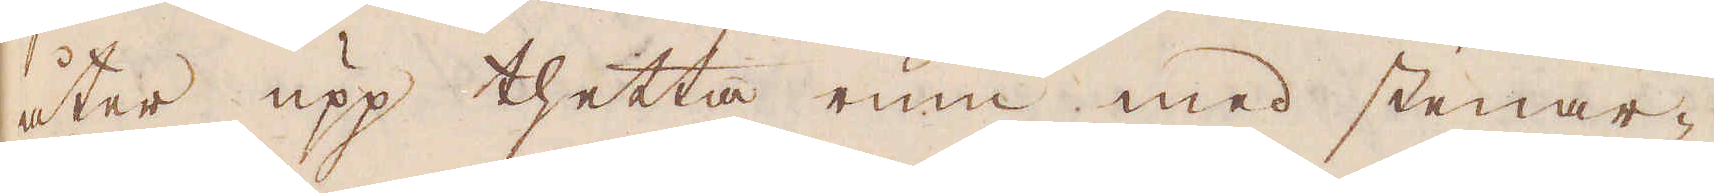åter upp thetta rum med stenar-
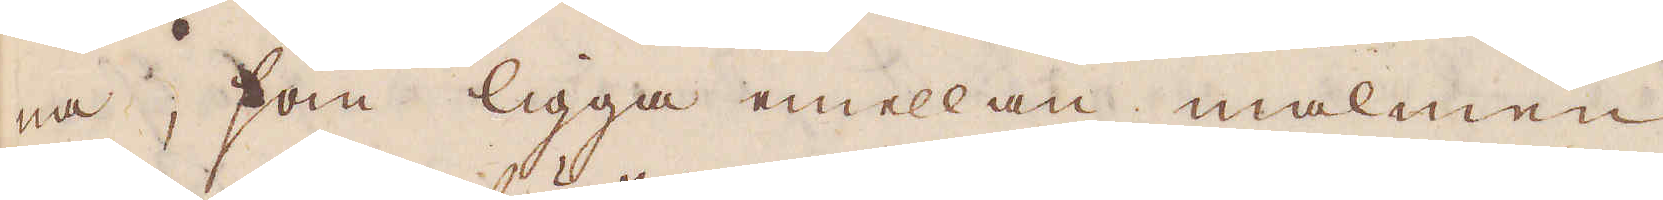na, som ligga emellan malmen
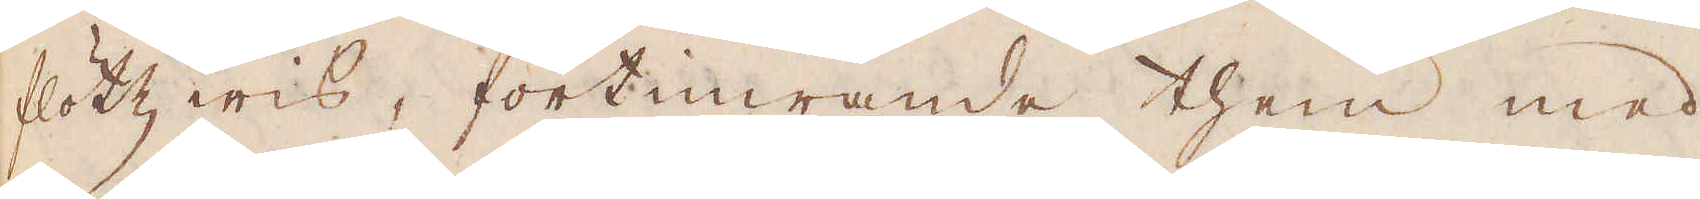flötz wis, förtimrande them med
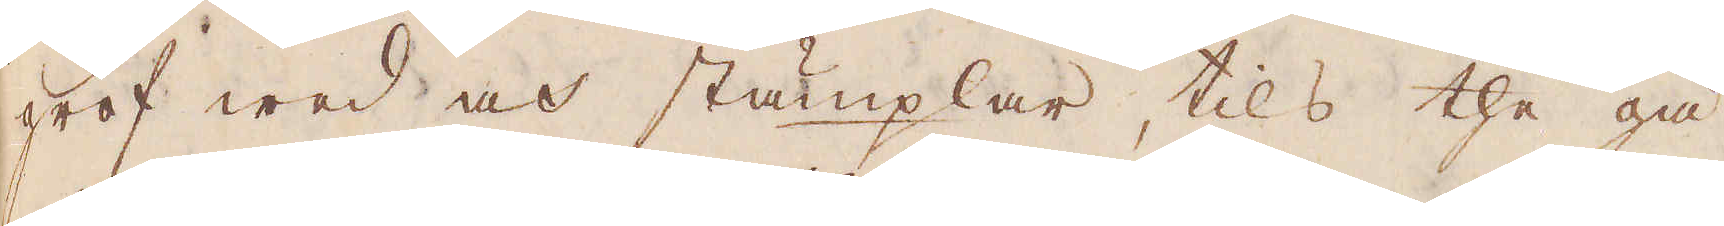grof wed och stämplar, tils the gå
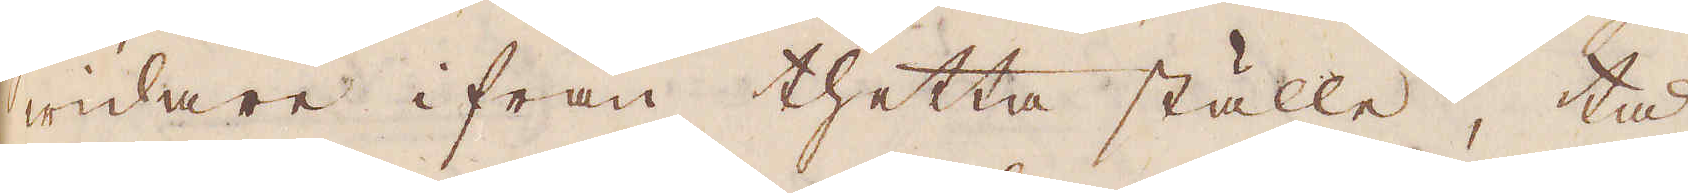widare ifrån thetta ställe, tå
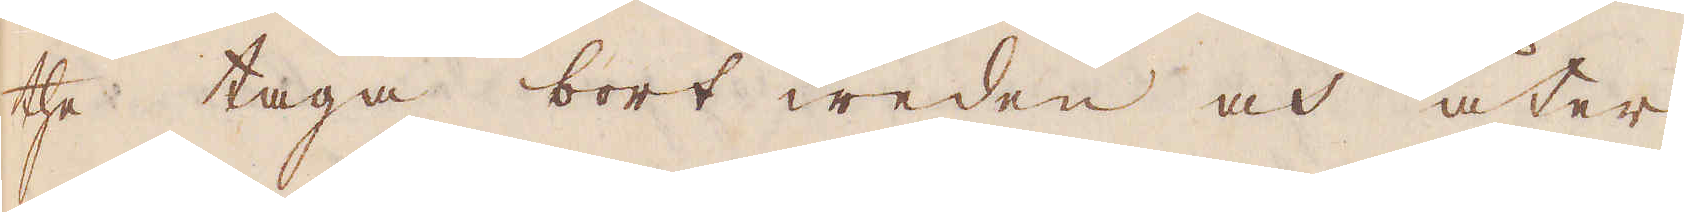the taga bort weden och åter
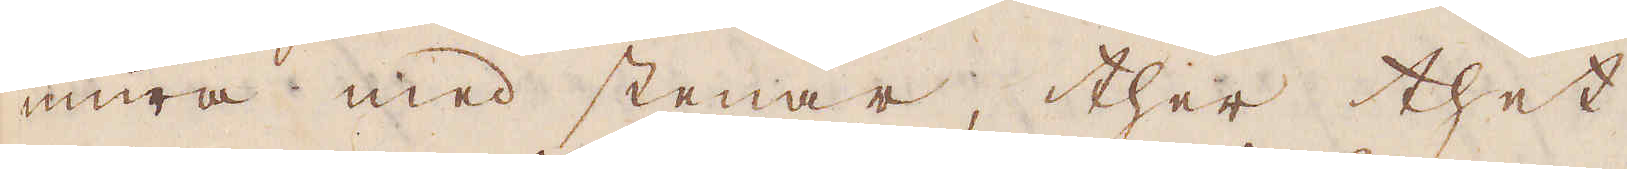mura med stenar, ther thet
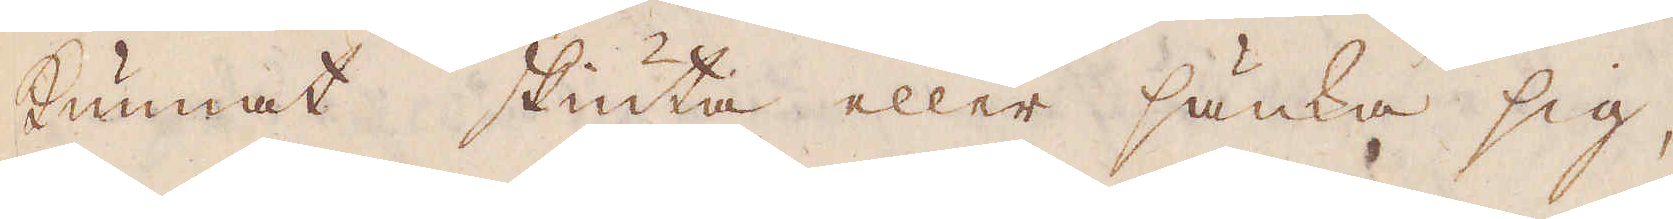kunnat skiuta eller sänka sig,
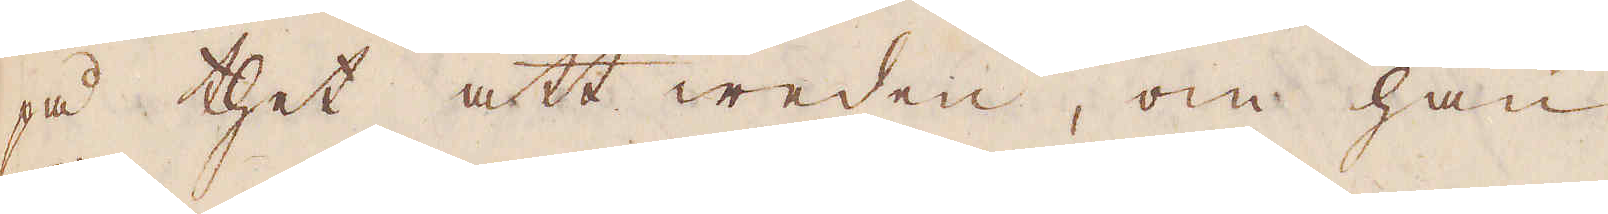på thet att weden, om han
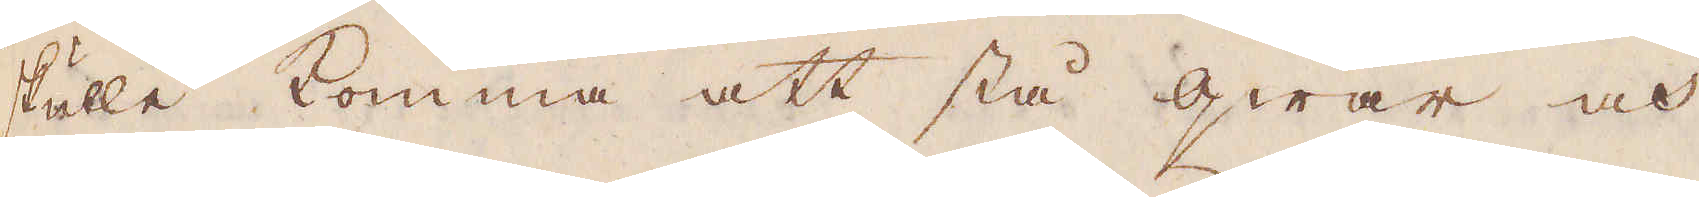skulle komma att stå qwar och
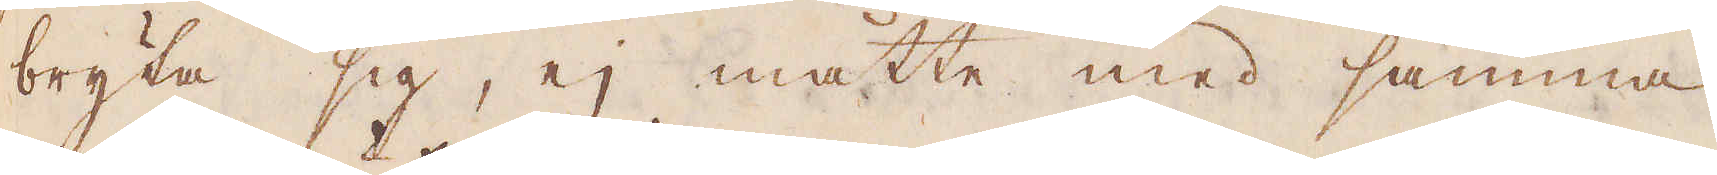bryta sig, ej måtte med samma
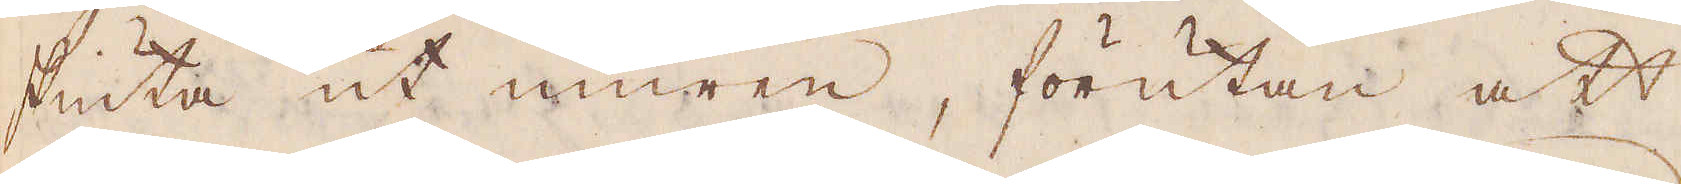skiuta ut muren, förutan att
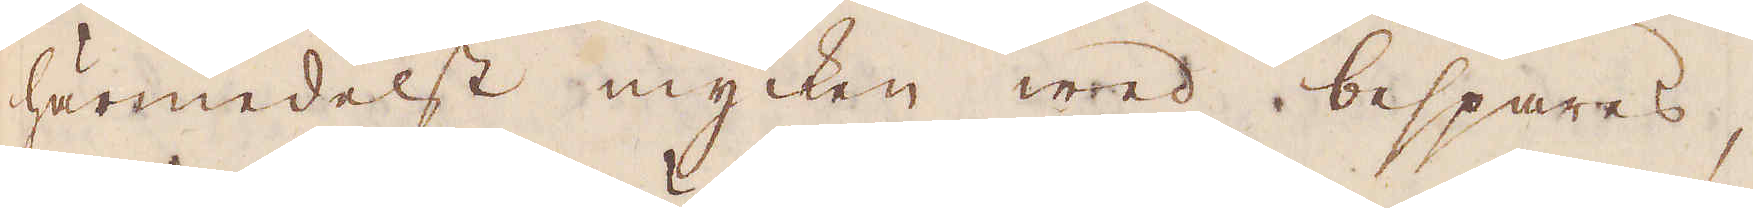härmedelst mycken wed bespares,
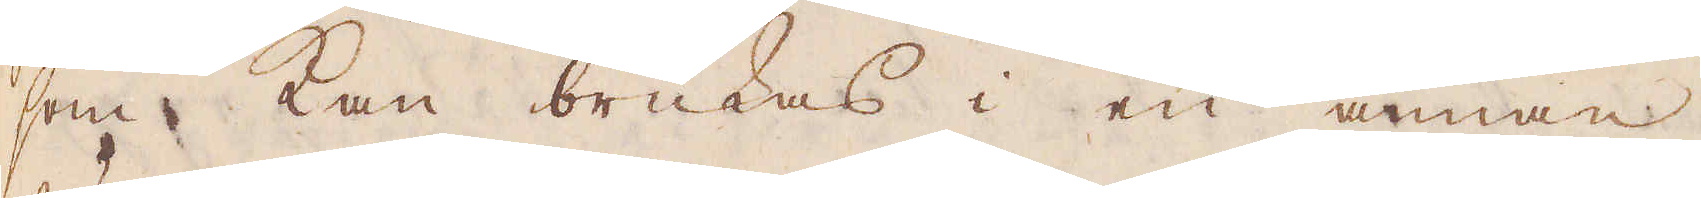som kan brukas i en annan,
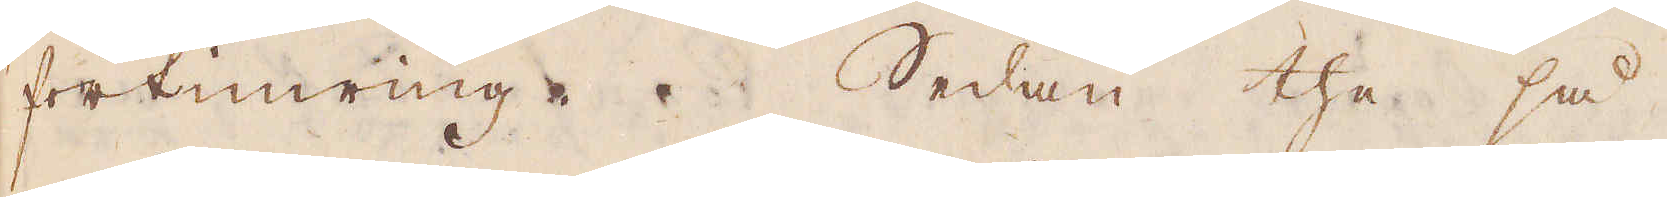förtimring. Sedan the så
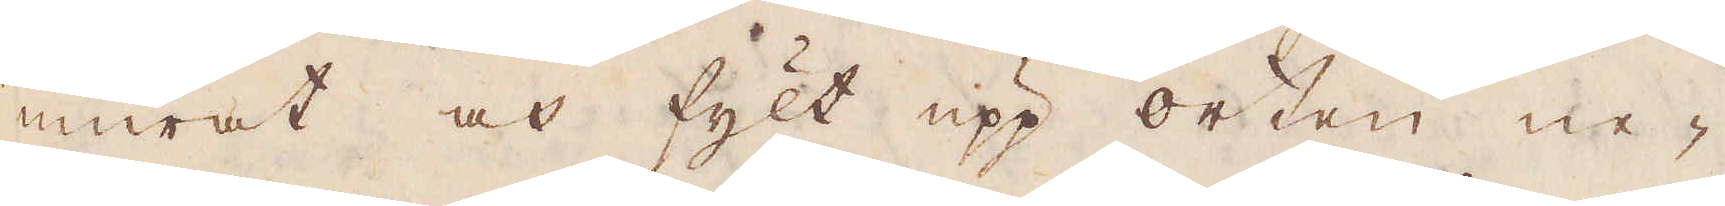murat och fylt upp orten ne-
